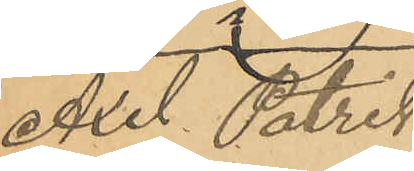Axel Patrik
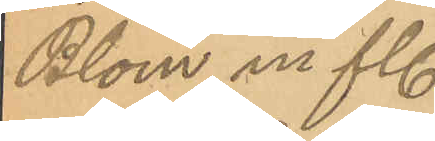Blom m fl.
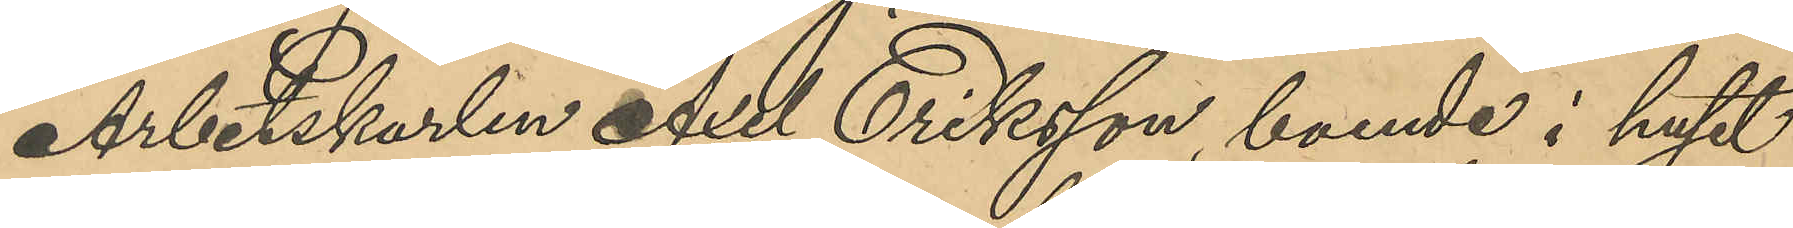Arbetskarlen Axel Eriksson, boende i huset
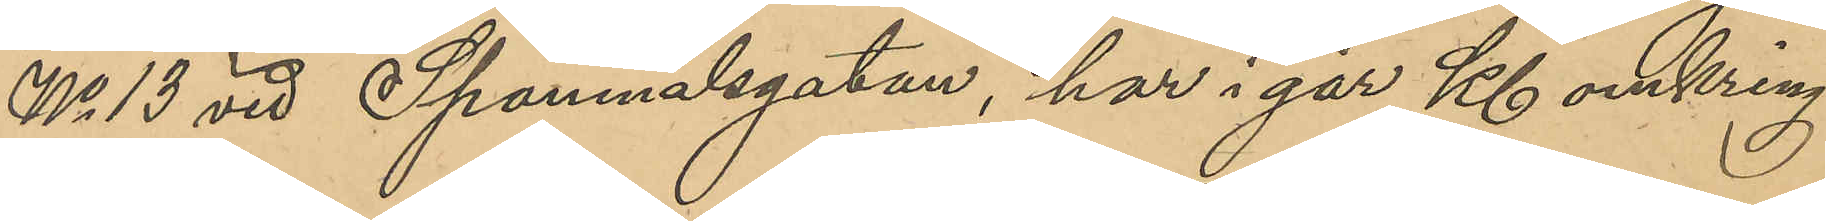No 13 vid Spannmålsgatan, har i går kl omkring
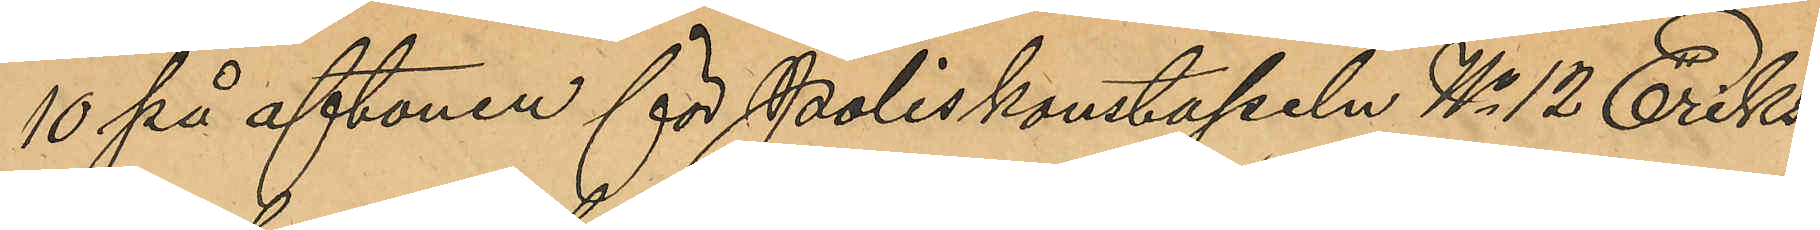10 på aftonen för poliskonstapeln No 12 Eriks¬
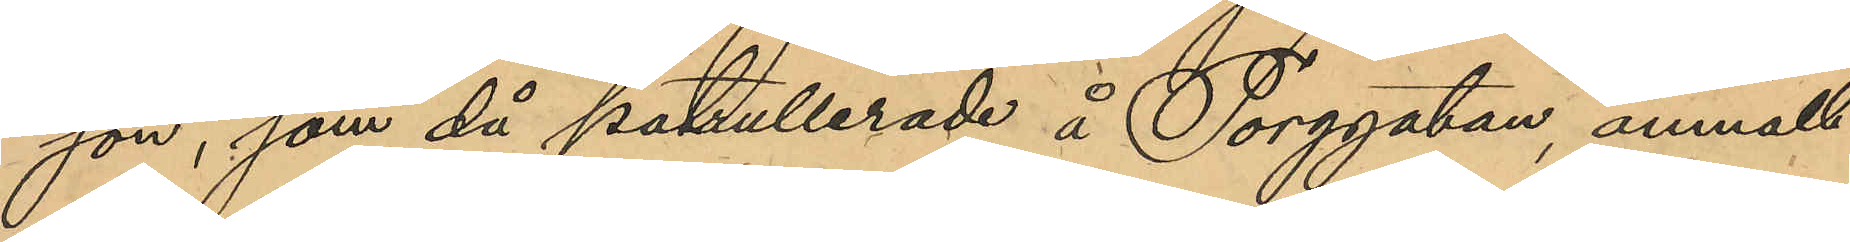son, som då patrullerade å Torggatan, anmält
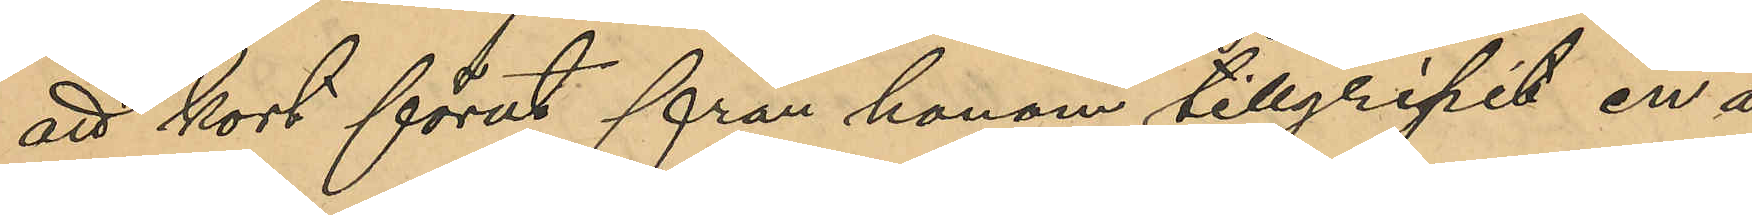att kort förut från honom tillgripits en å
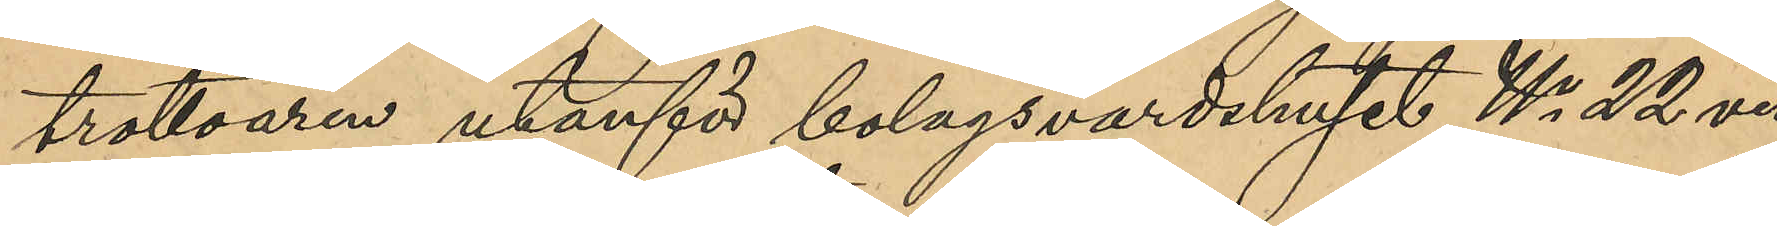trottoaren utanför bolagsvardshuset No 22 vid
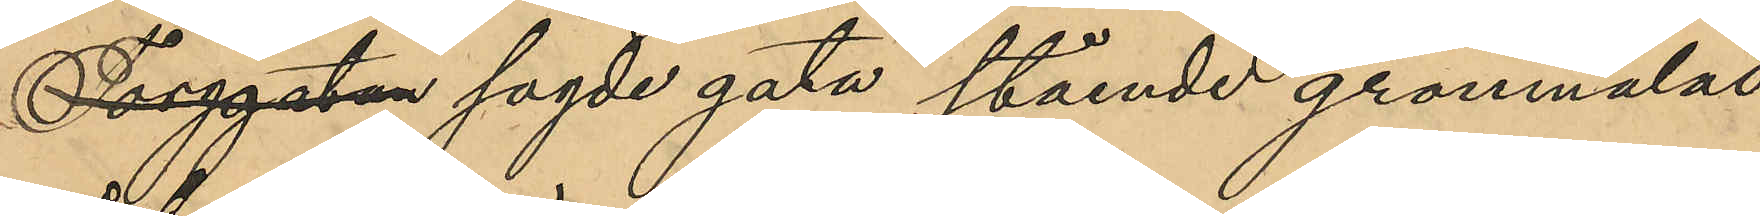Torggatan sagde gata stående grönmålad
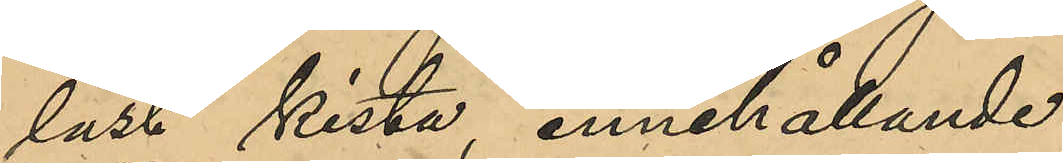låst kista, innehållande:
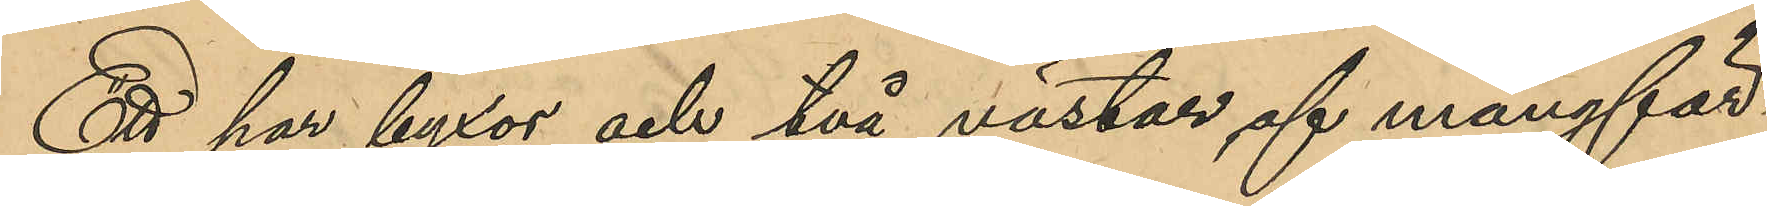Ett par byxor och två västar af mångfär¬
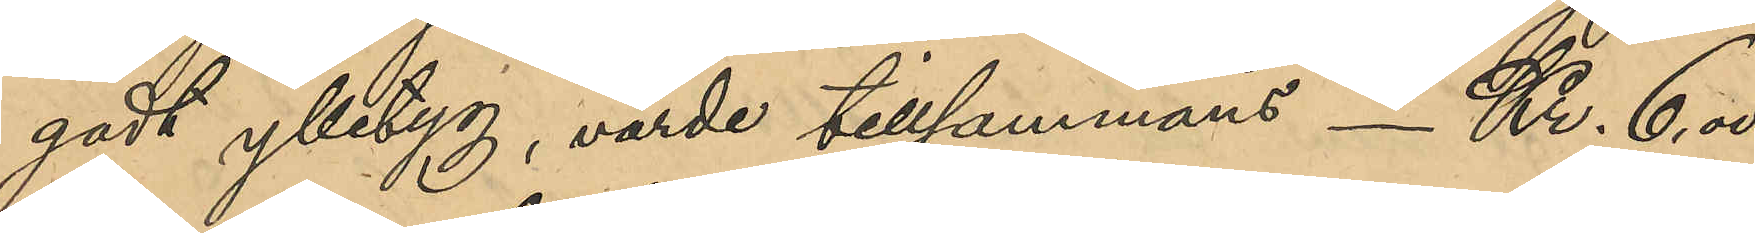gadt ylletyg, värde tillsammans _ Kr. 6,00
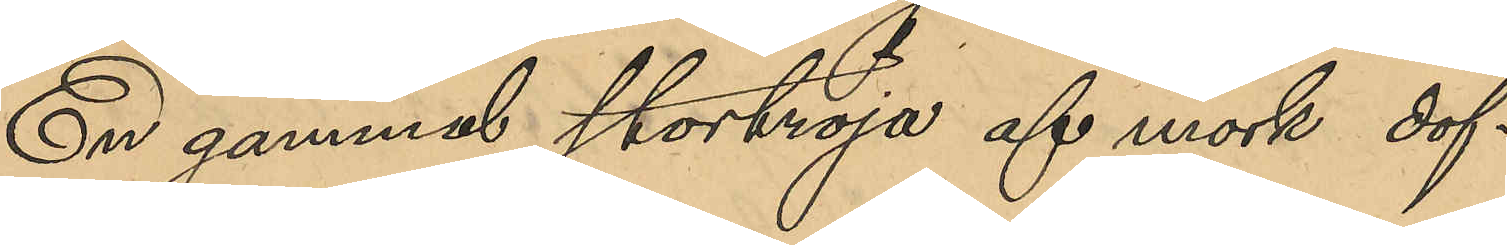En gammal stortröja af mörk dof¬
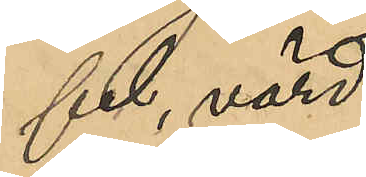fel, värd
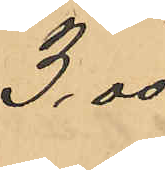3,00
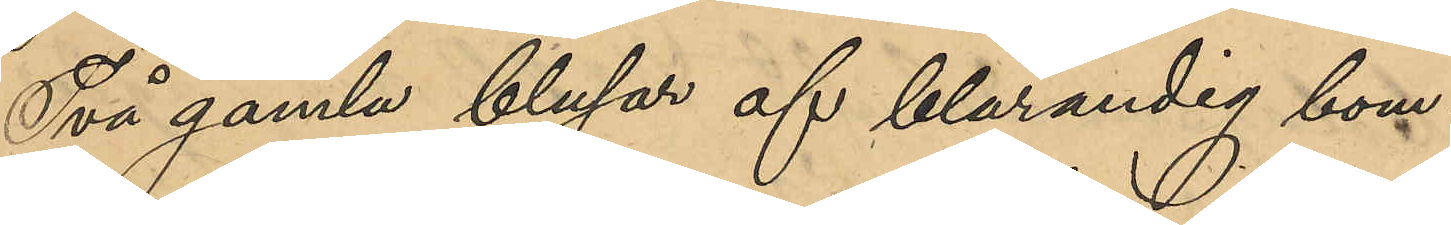Två gamla blusar af blårandig bom¬
